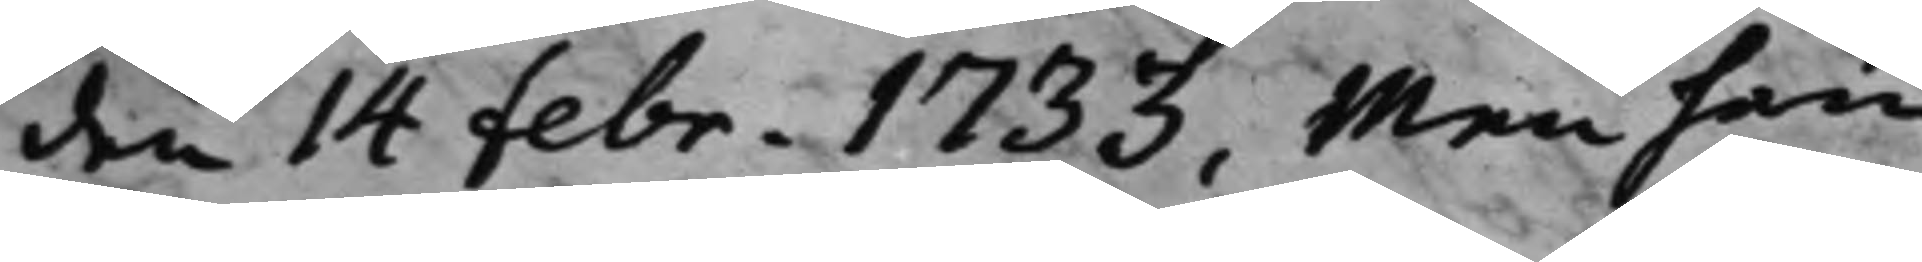den 14 febr. 1733, Men han
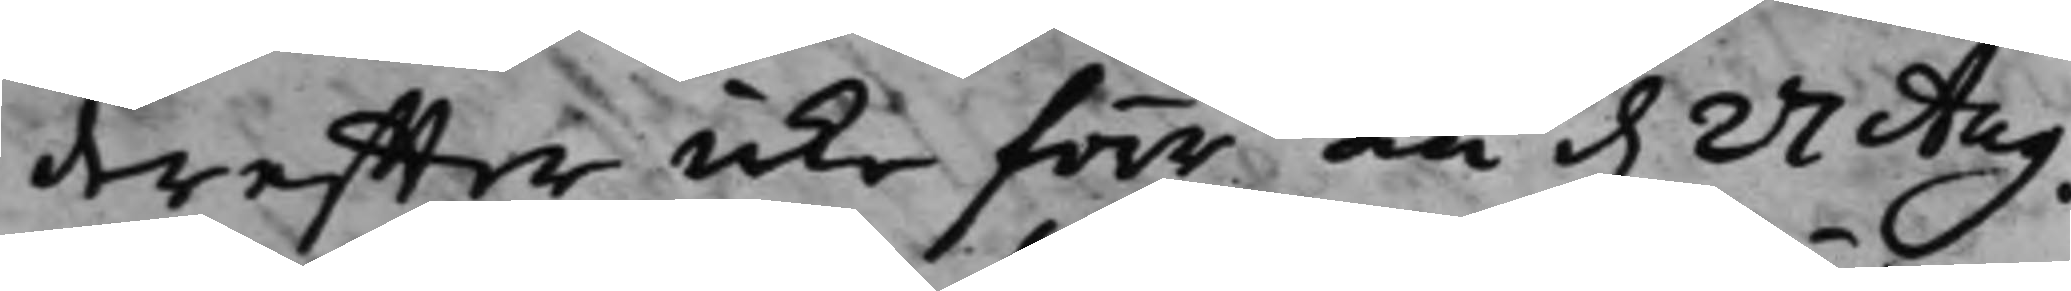dereffter icke förr än d. 27 Aug.
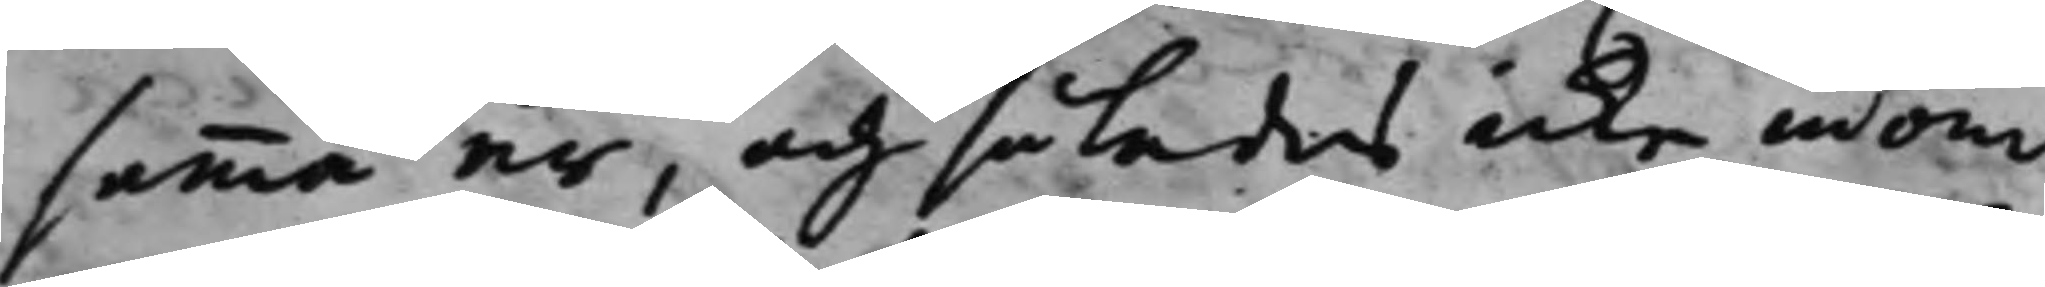samma år, och således icke, inom
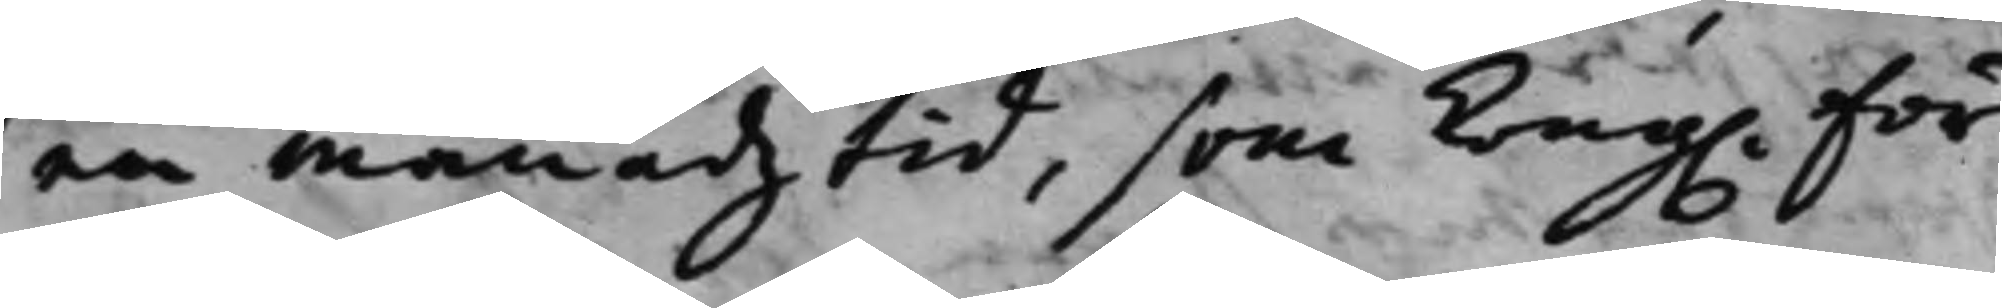en månadz tid, som Kong. För¬
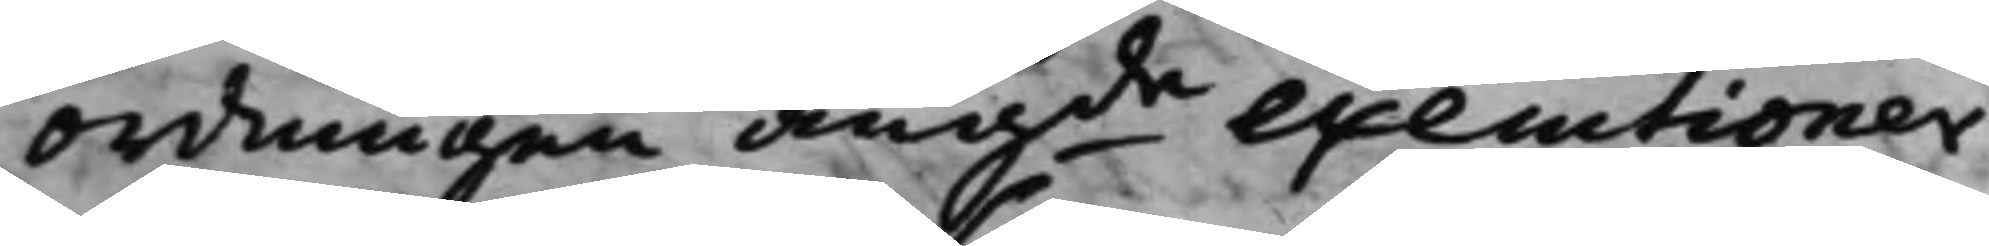ordningen angde executioner
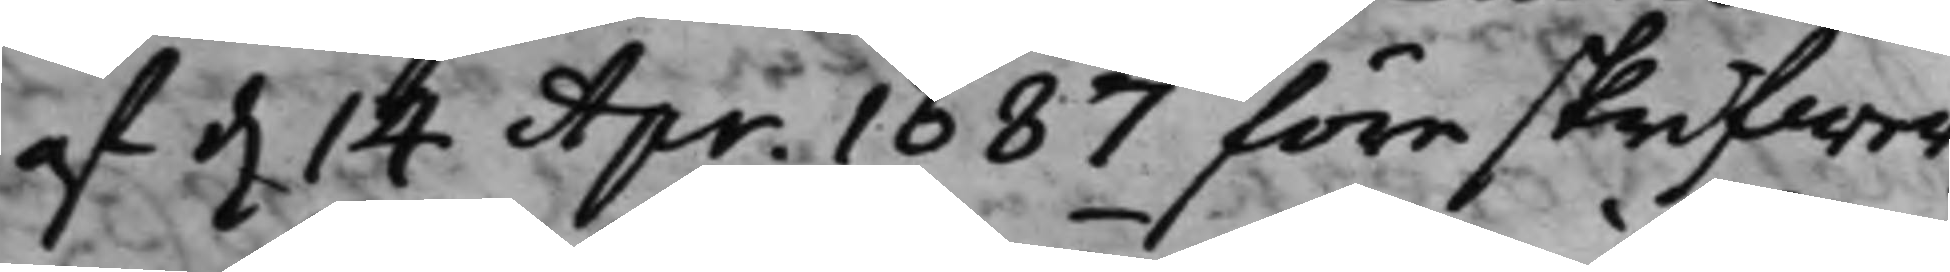af d. 14 Apr. 1687 föreskrifwer,
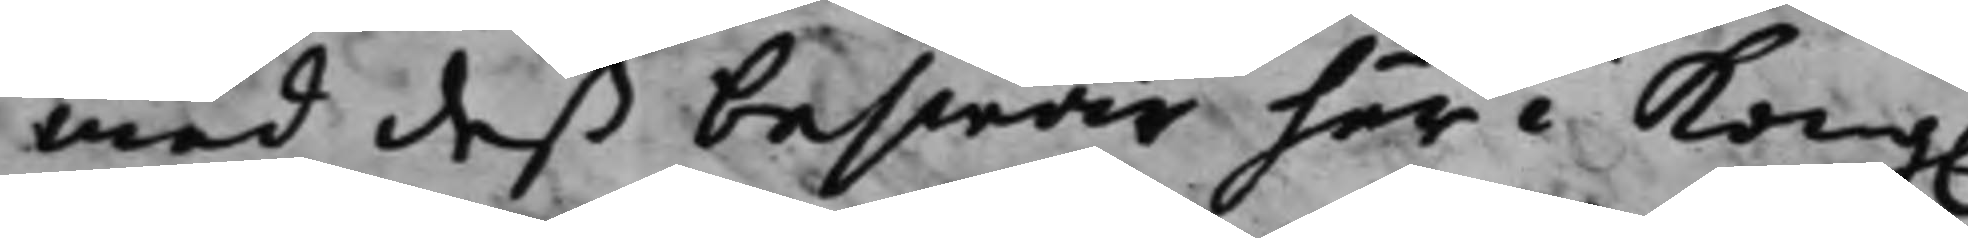med deß beswär här i Kong.
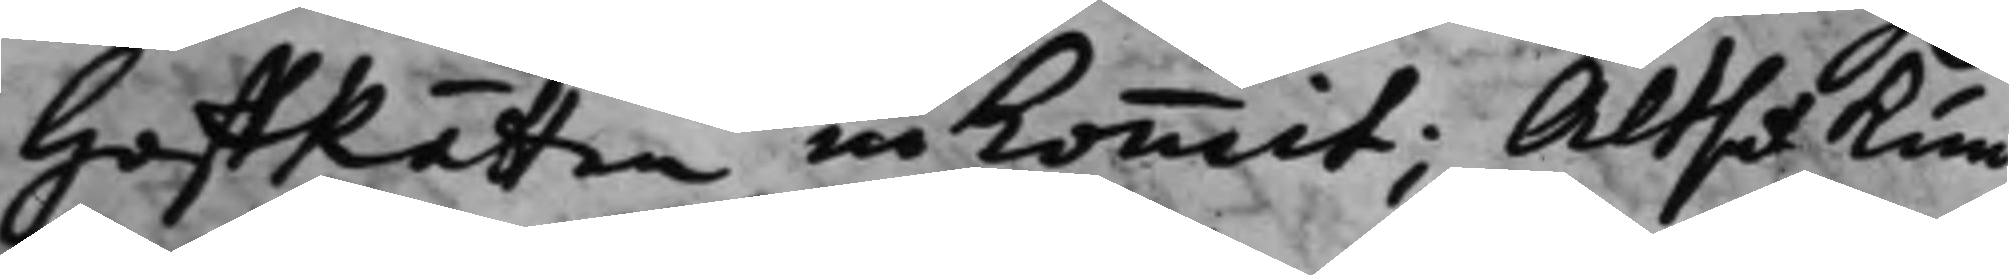HoffRätten inkommit; Altså kun¬
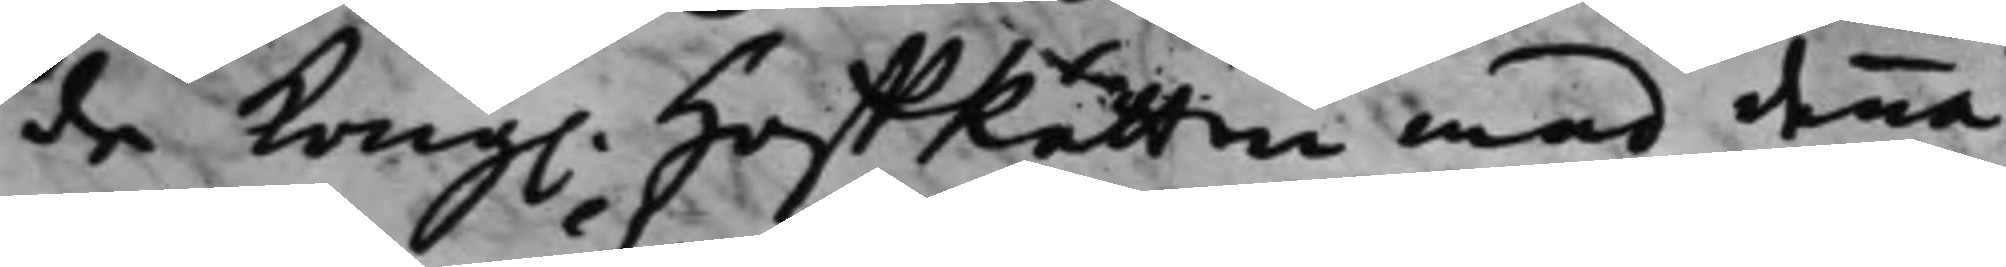de Kong. HoffRätten med denna
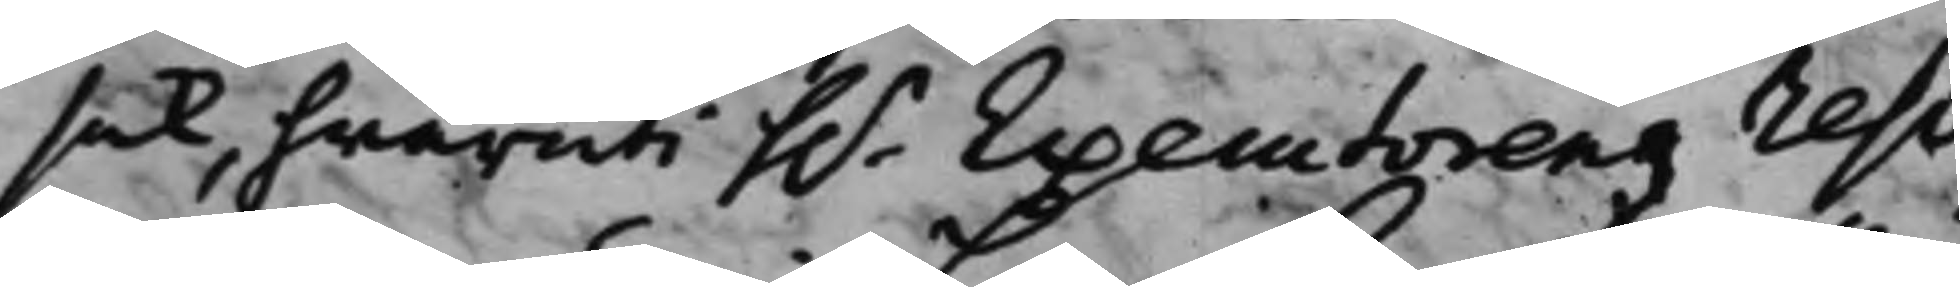sak, hwaruti h.r Executorens reso¬
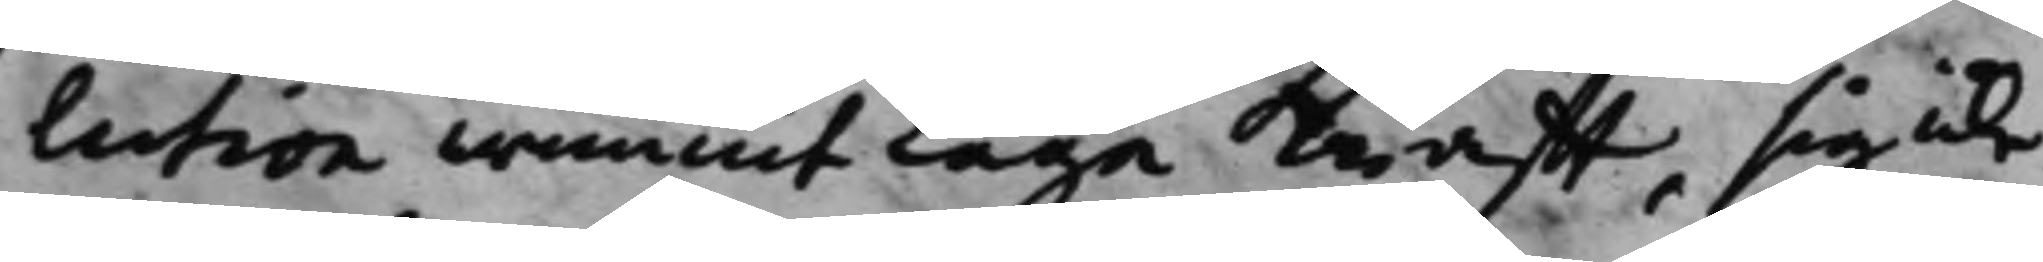lution wunnit laga Krafft, sig icke
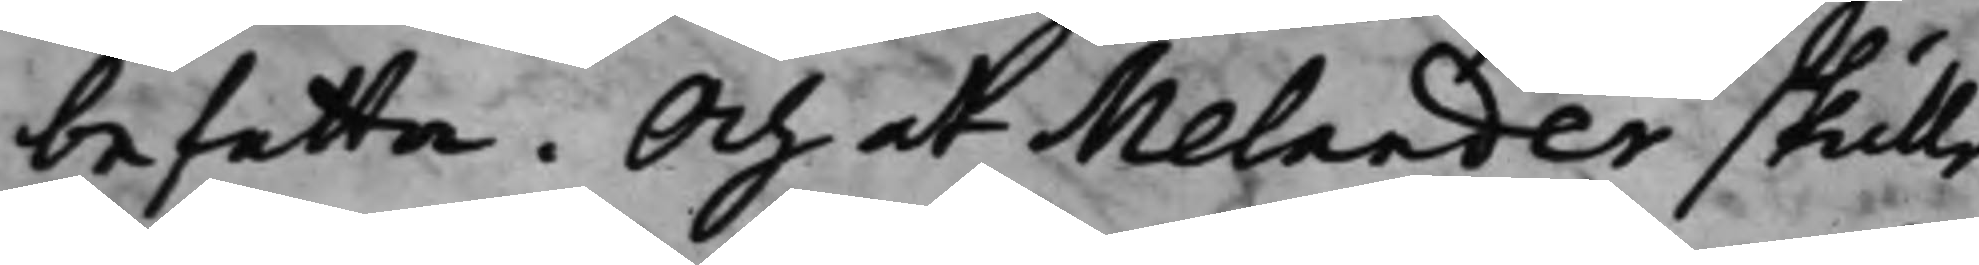befatta. Och at Melander skulle
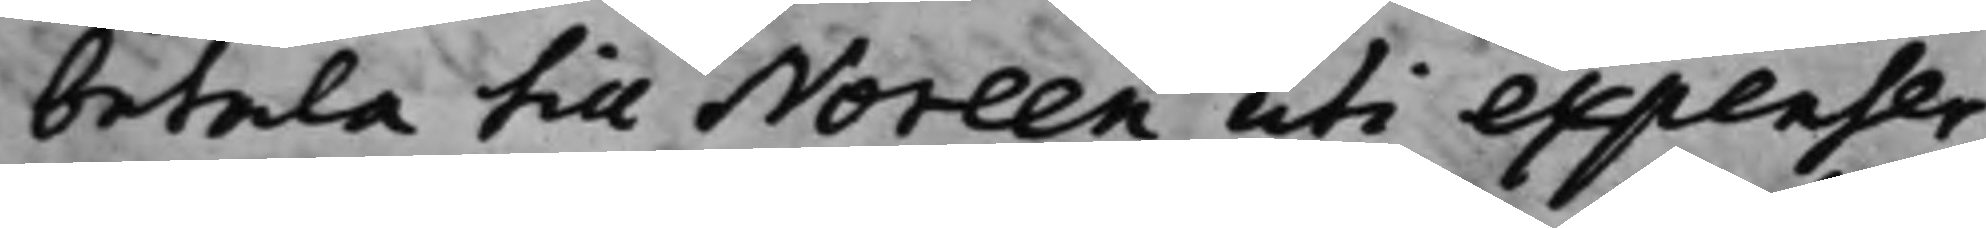betala till Noreen uti expenser
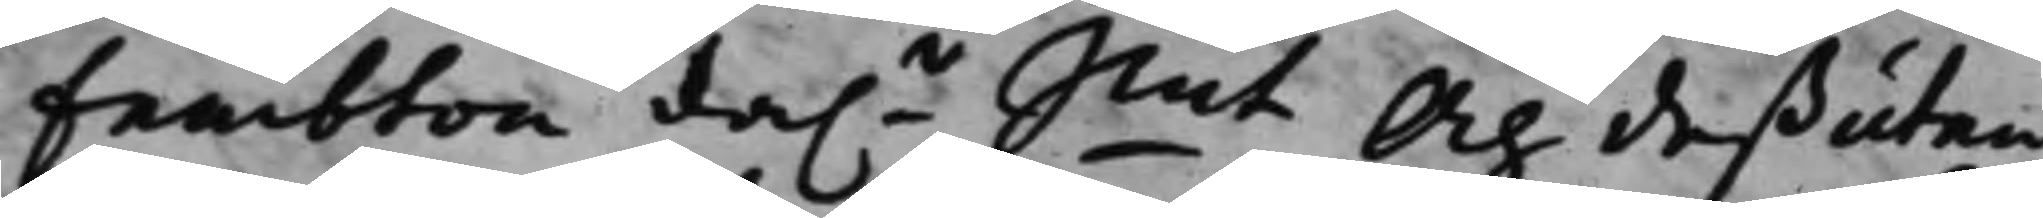Fembton da.r Smt, Och deßutan
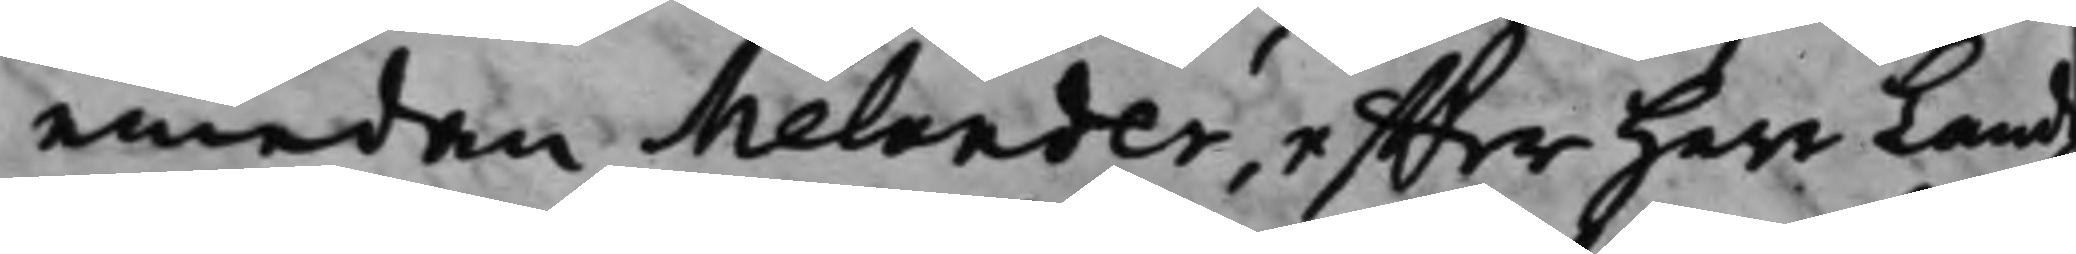emedan Melander, effter Herr Landz¬
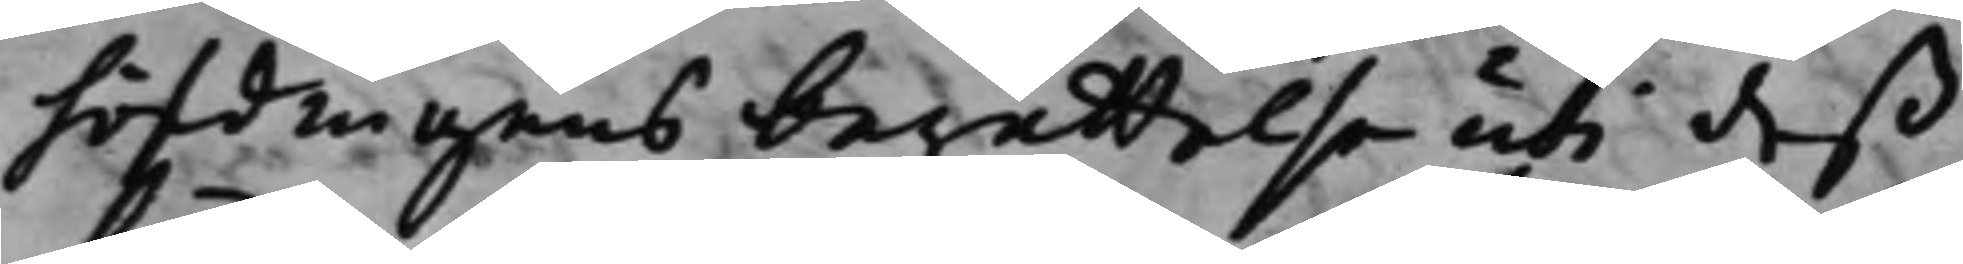höfdingens berättelse uti deß
